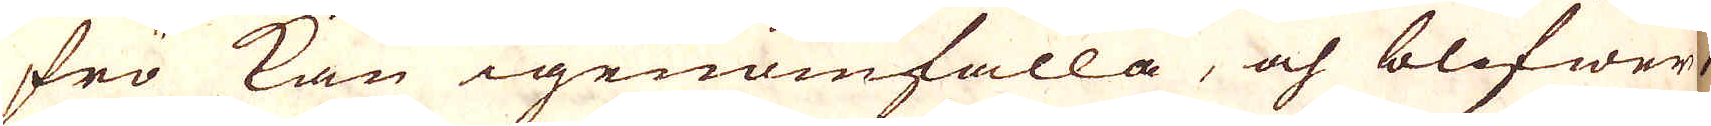frö kan igenomfalla, och blifwer
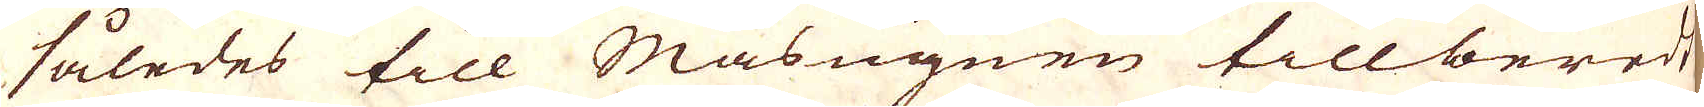således till Masugnen tillberedt.
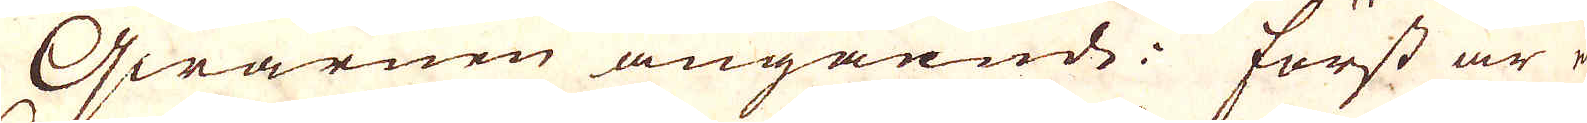Qwarnen angående: först är e-
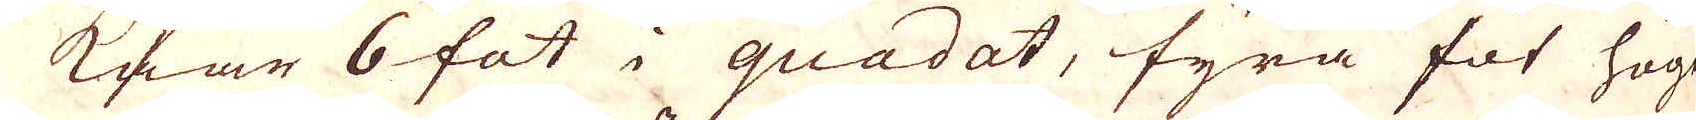kar 6 fot i quadat, fyra fot högd
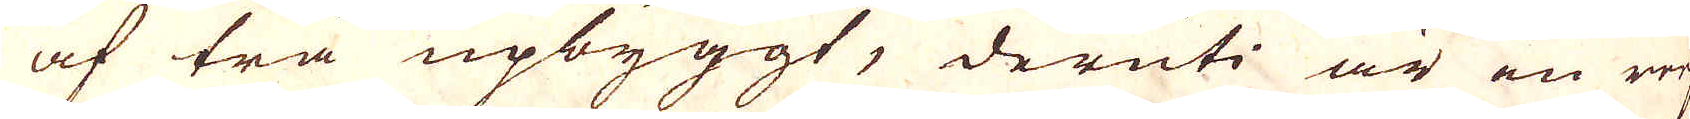af trä upbyggt, deruti är en reef
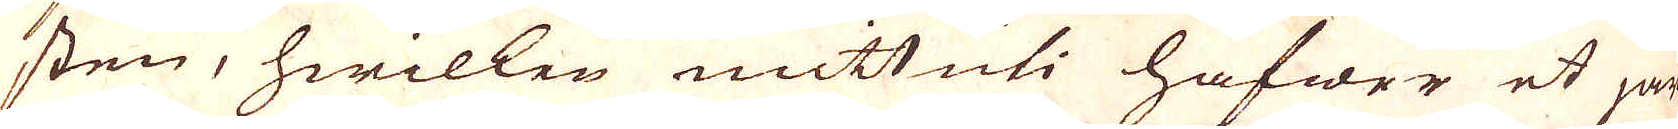sten, hwilken mittuti hafwer et järn
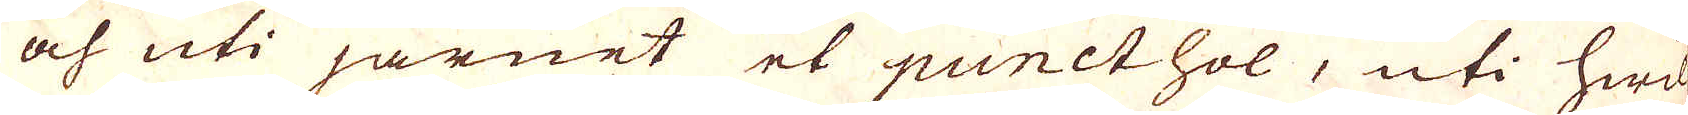och uti järnet et punct hol, uti hwil-
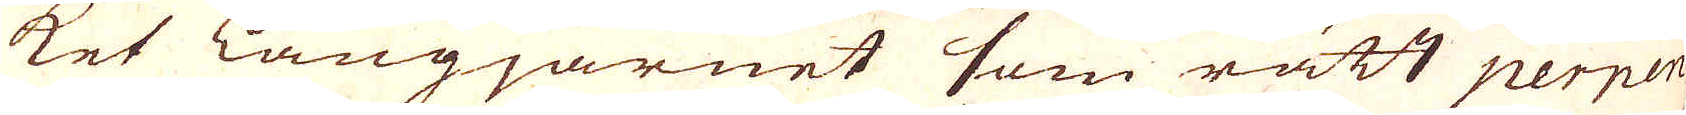ket långjärnet som rätt perpen-
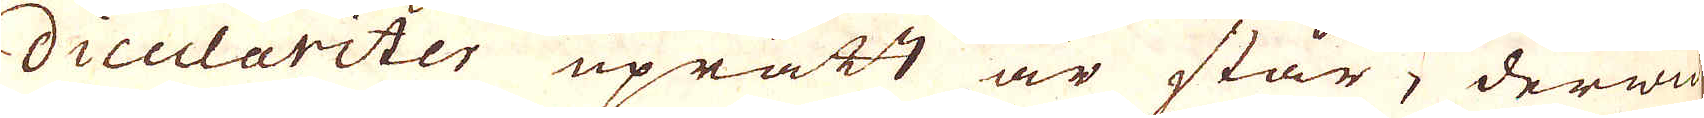diculariter uprätt är står, derwid
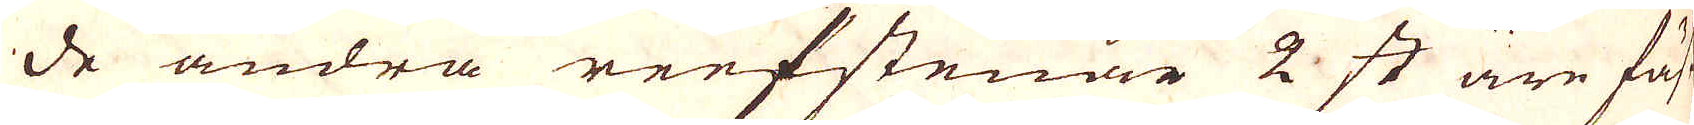de andra reefstenar 2 st äre fäst
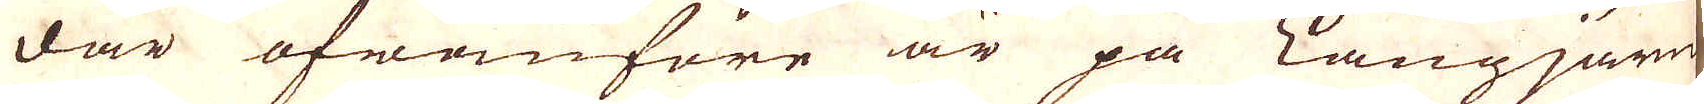där ofwanföre är på Långjärn
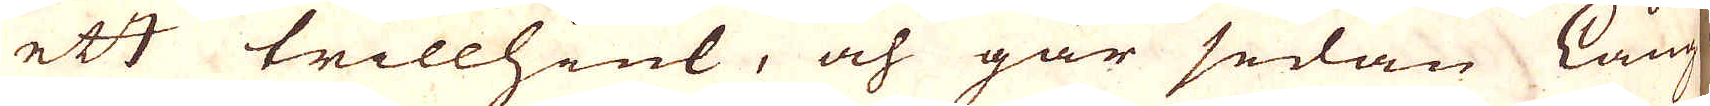ett trillhåel, och går sedan Lång
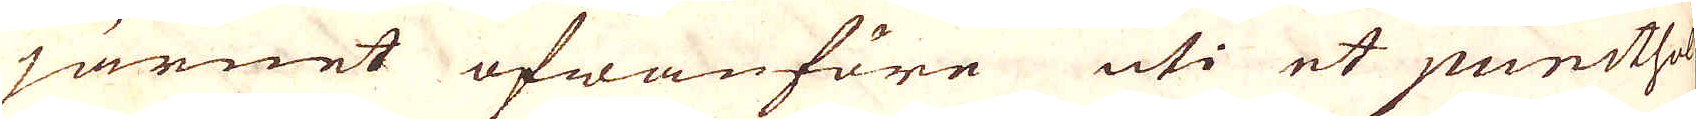järnet ofwanföre uti et puncthol
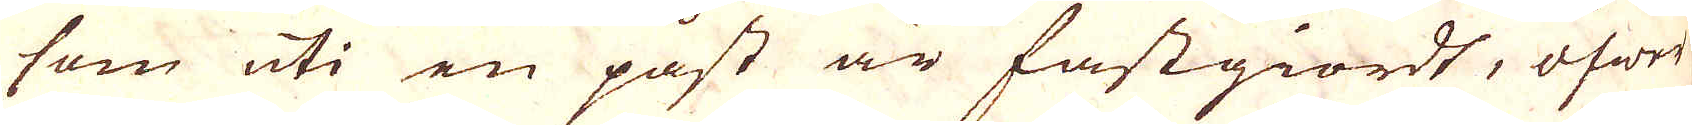som uti en påst är fastgiordt, öfwer
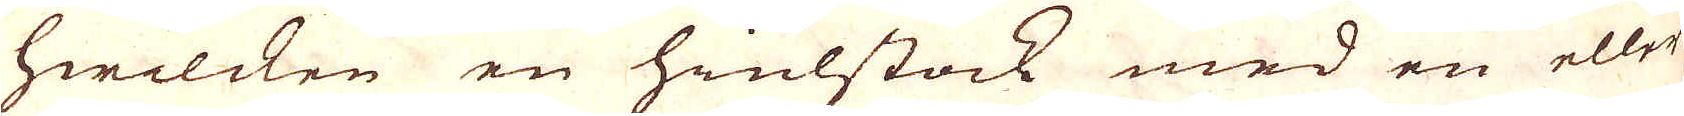hwilcken en hiulstock med en eller
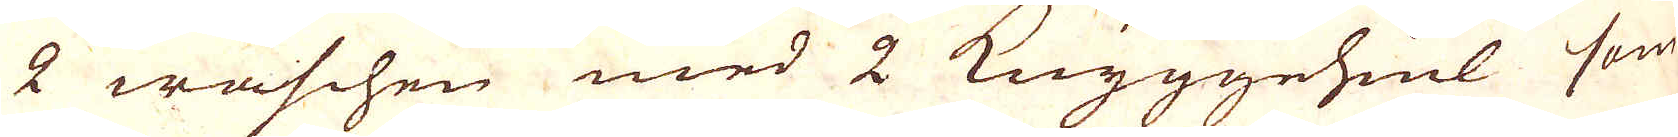2 waschen med 2 Knyggehiul som
